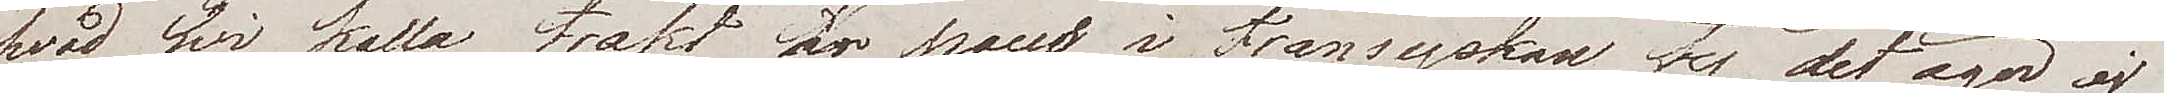hvad wi kalla trakt är pays i Fransyskan ty det äger ej
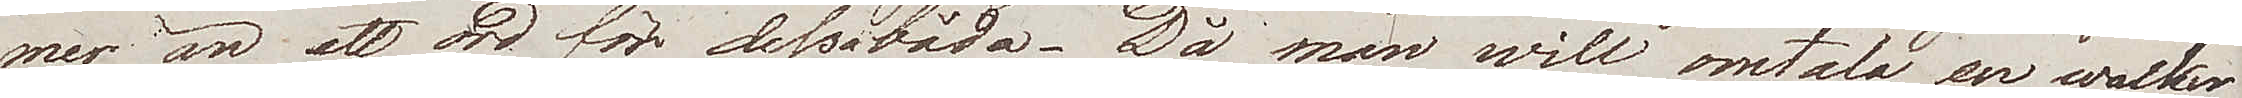mer än ett ord för dessabåda. Då man will omtala en wacker
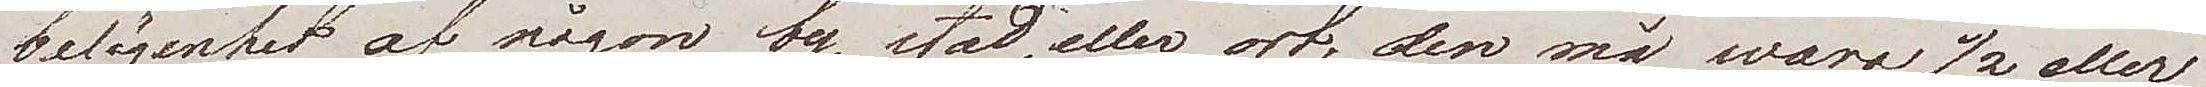belägenhet af någon by, stad, eller ort, den må vara ½ eller
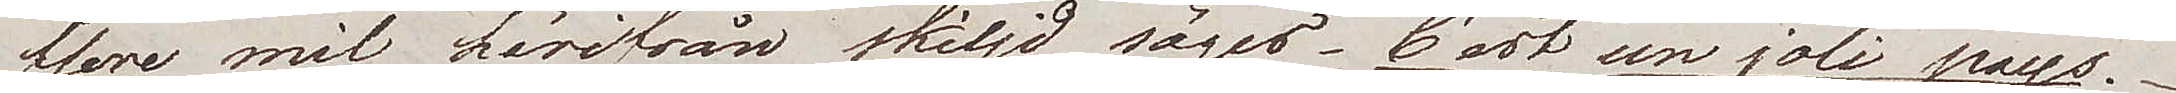flere mil härifrån skiljd, säger – C'est un joli pays.
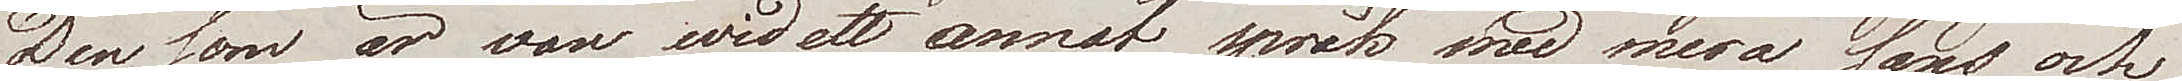Den som är van wid ett annat språk med mera sans och
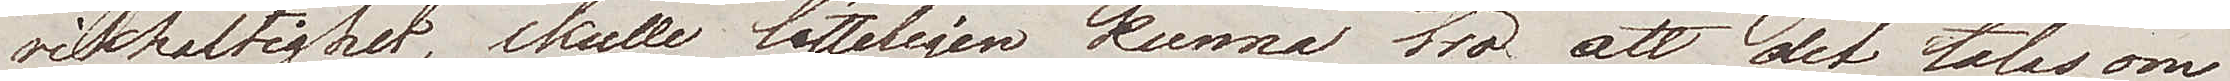riktighet, skulle lätteligen kunna tro att det talas om
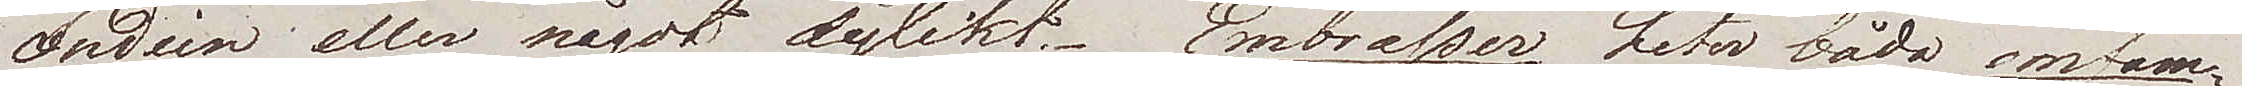Indien eller något dylikt. Embrasser heter både omfam¬
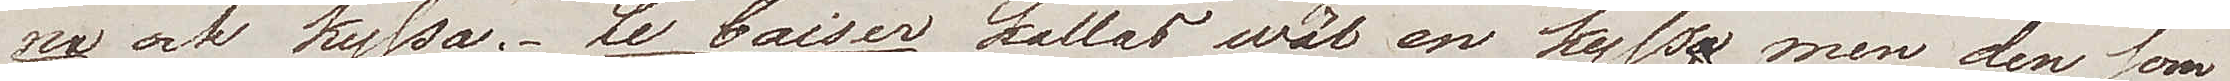na och kyssa. Le baiser kallas wäl en kyss, men den som
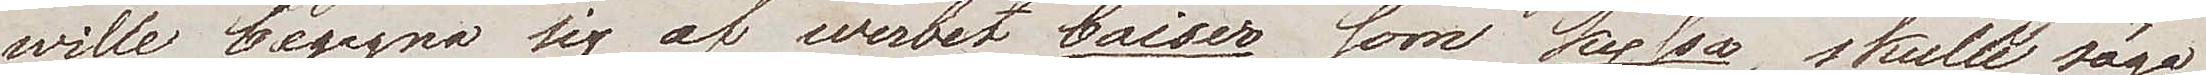will begagna sig af werbet baiser som kyssa, skulle säga
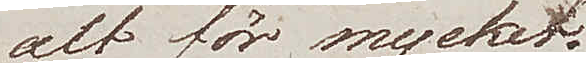alt för mycket.
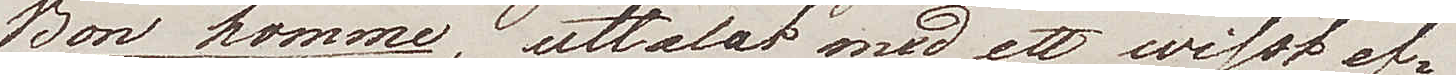Bon homme, uttalat med ett wisst ef¬
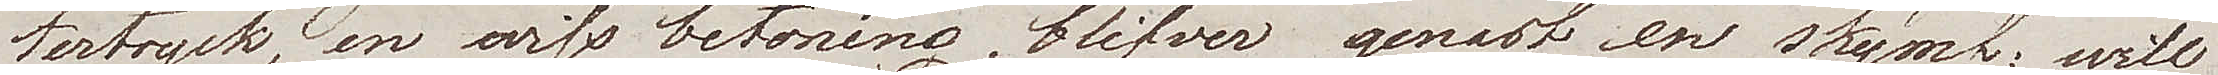tertryck, en wiss betoning, blifver genast en skymf; will
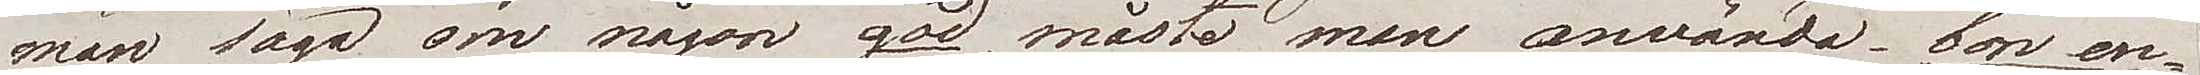man säga om någon god, måste man använda "bon en¬
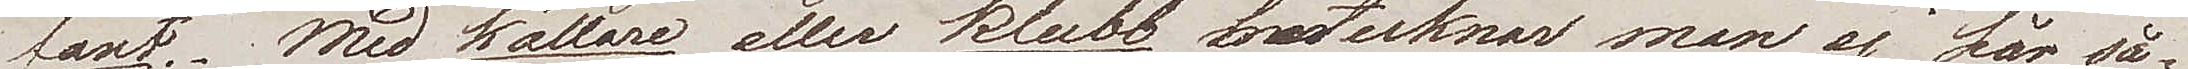fant. Med källare eller klubb betecknar man ej här så¬
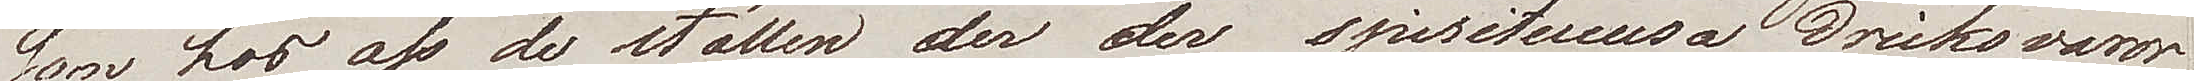som hos oss de ställen der der spirituousa dricksvaror
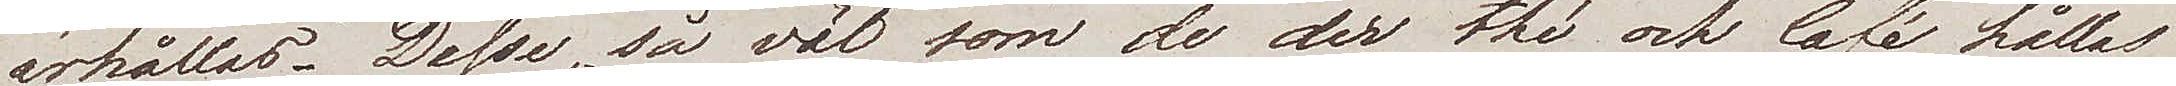erhållas. Desse, så väl som de der thé och Café hållas
